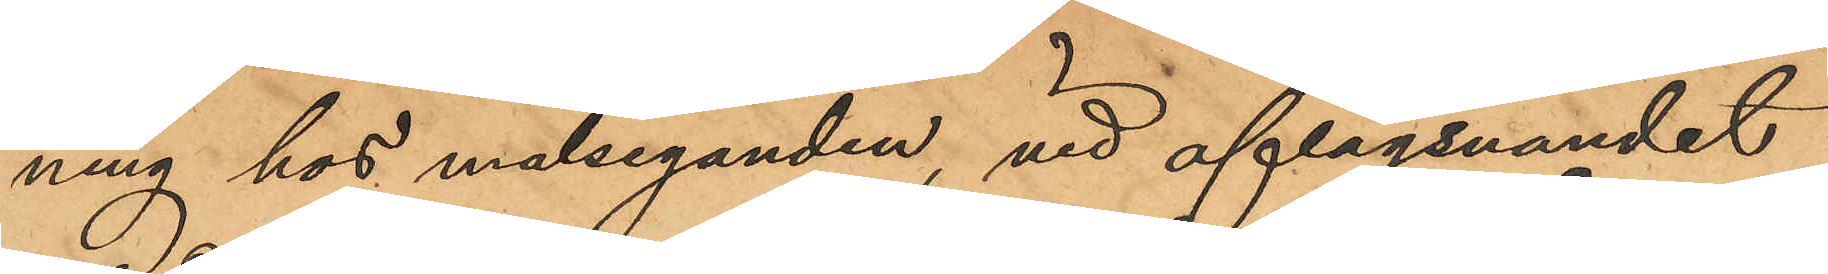ning hos målseganden, vid aflägsnandet
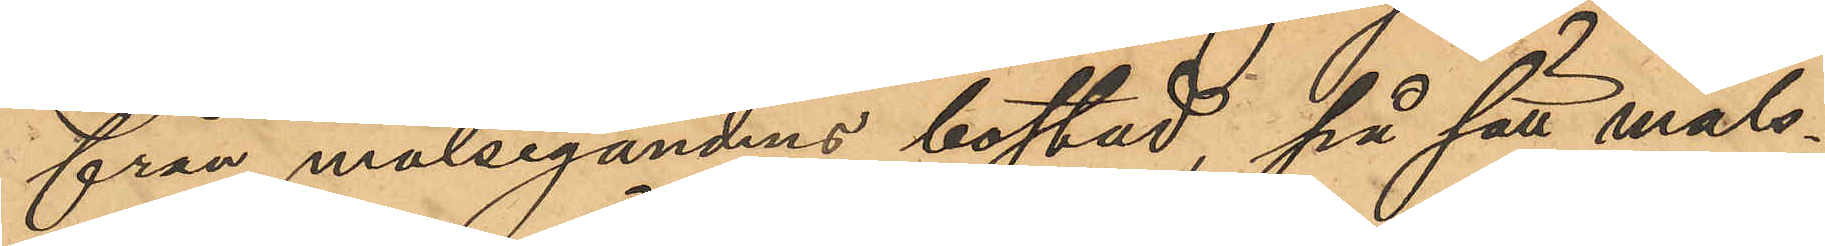från målsegandens bostad, på sätt måls¬
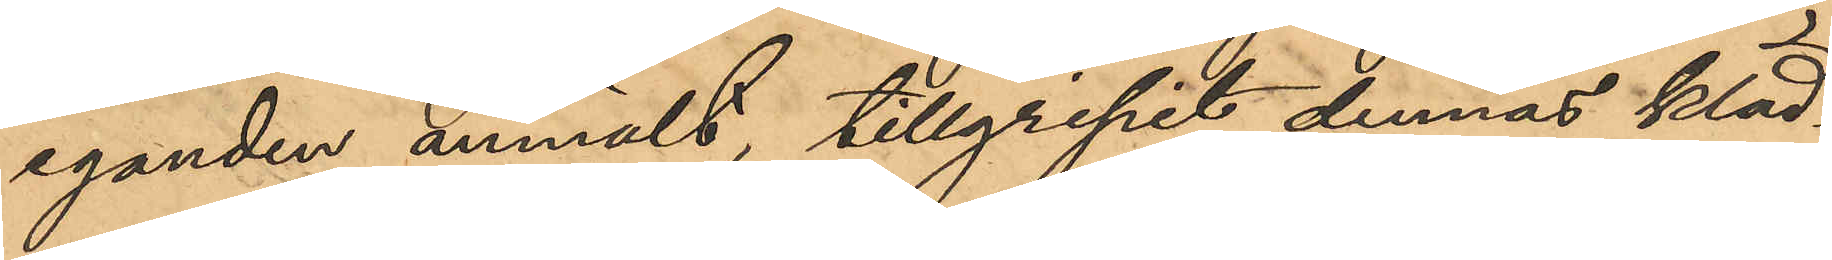eganden anmält, tillgripit dennas kläd¬
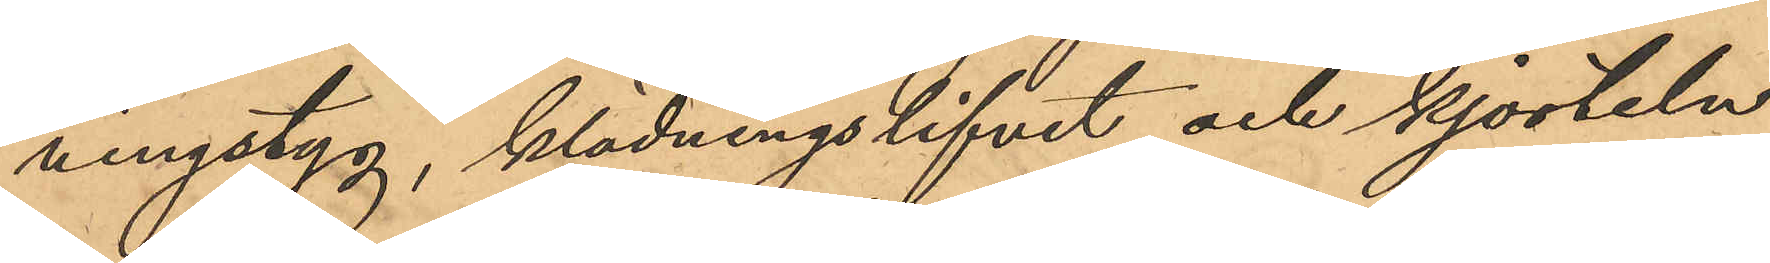ningstyg, klädningslifvet och kjorteln,
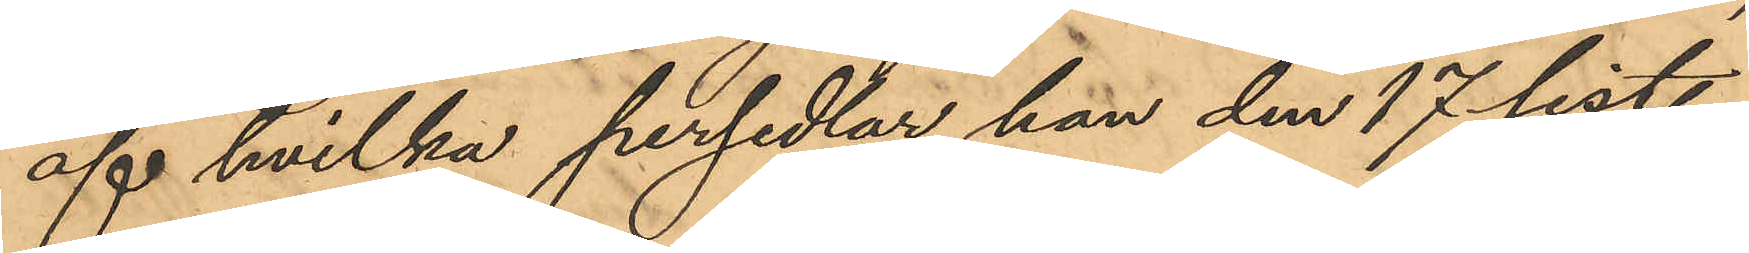af hvilka persedlar hon den 17 sist.
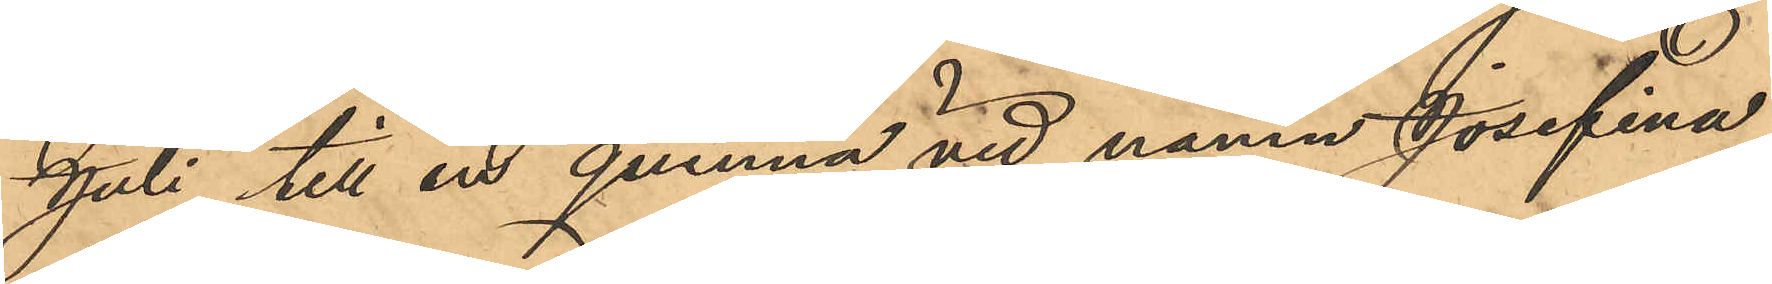Juli till en quinna vid namn Josefina,
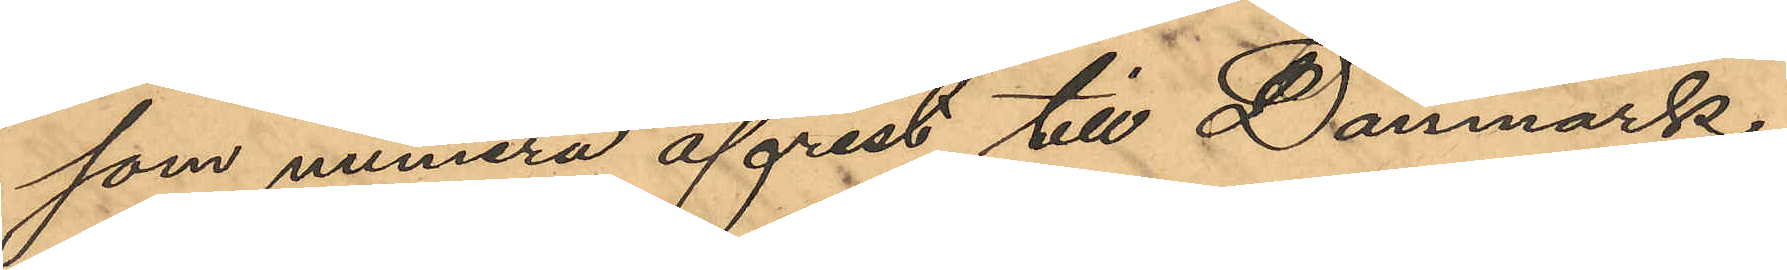som numera afrest till Danmark,
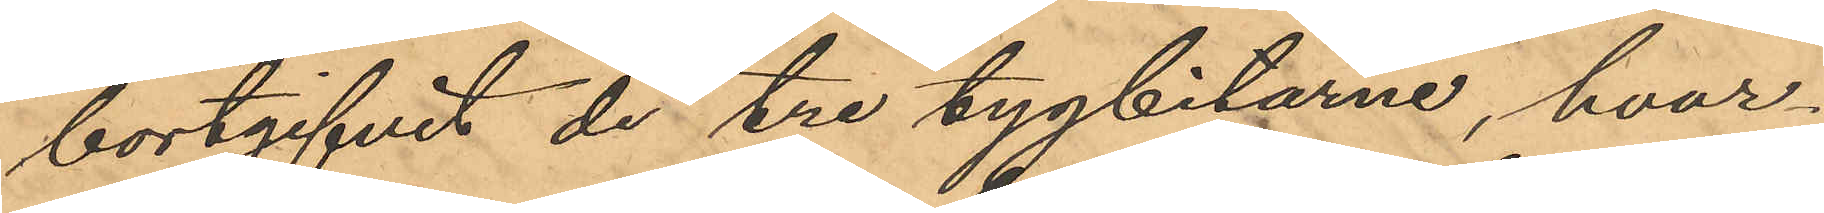bortgifvit de tre tygbitarne, hvar¬
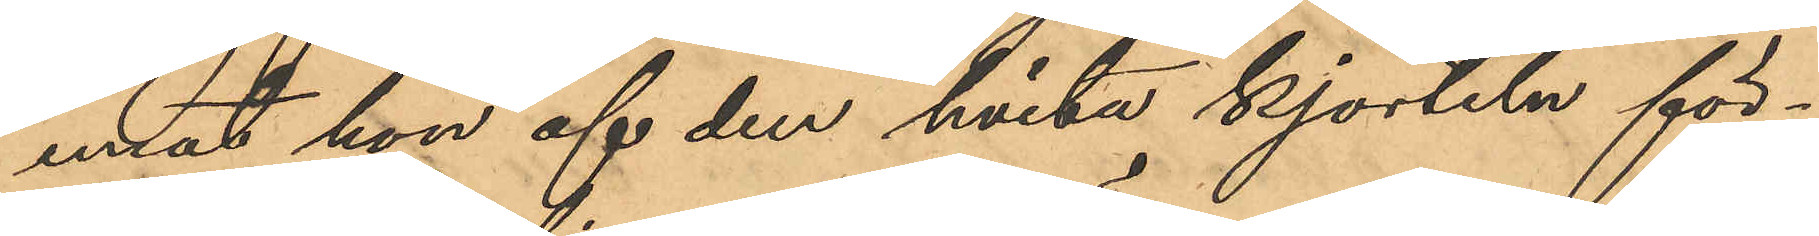emot hon af den hvita kjorteln för¬
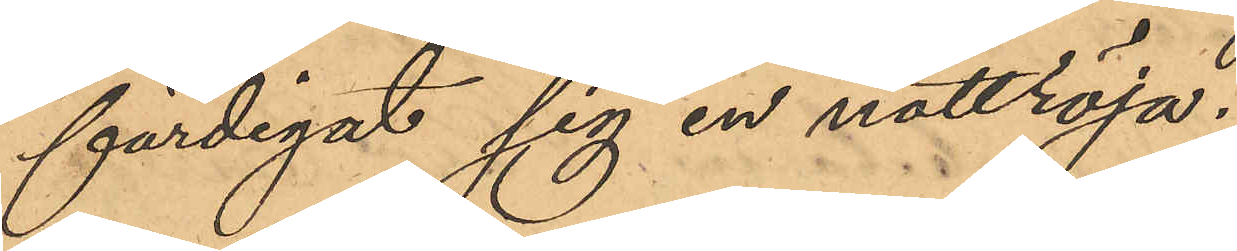färdigat sig en nattröja.
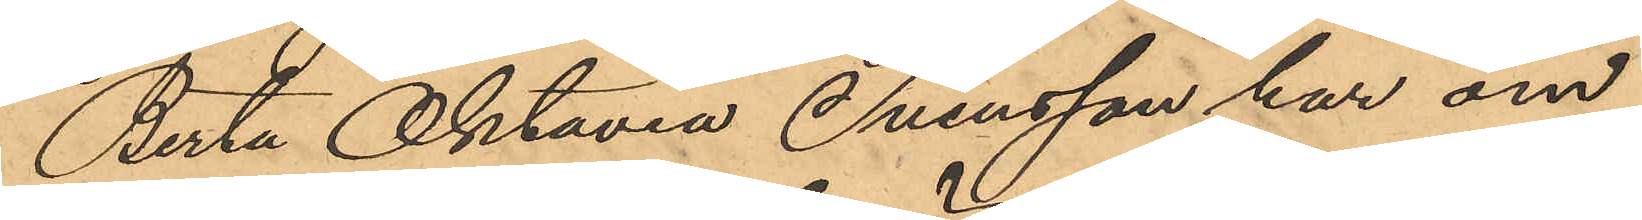Berta Oktavia Svensson har om
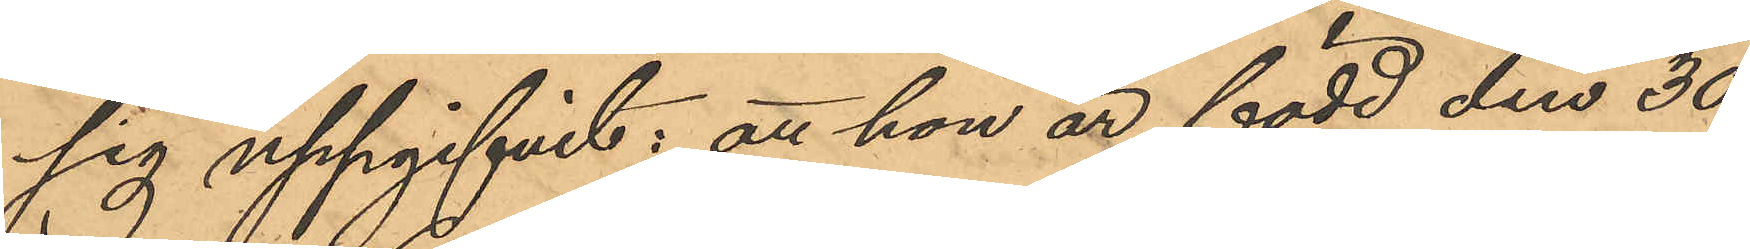sig uppgifvit: att hon är född den 30
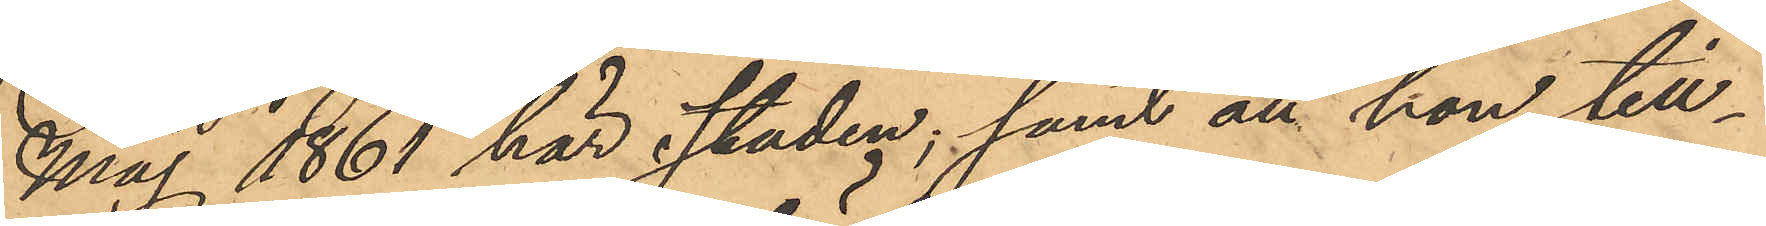Maj 1861 här staden; samt att hon till¬
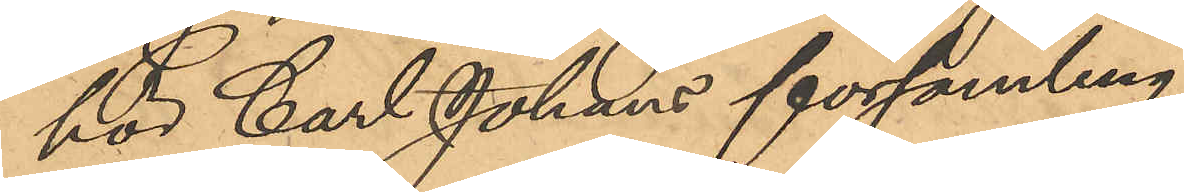hör Carl Johans församling.
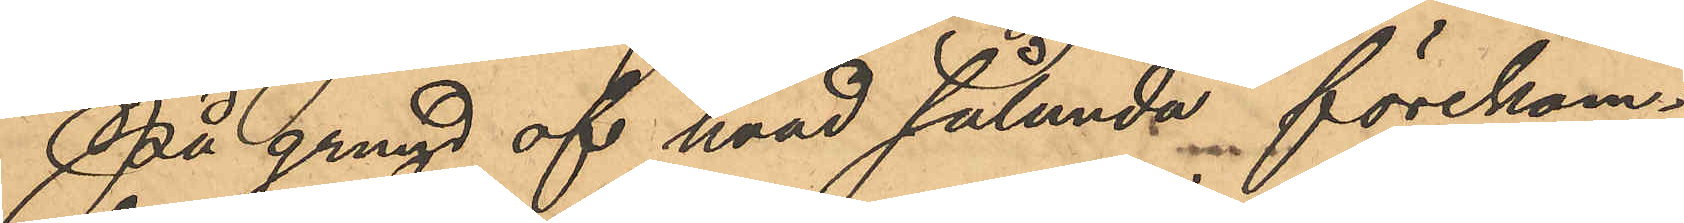På grund af hvad sålunda förekom¬
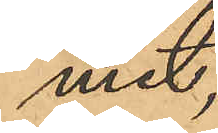mit,
